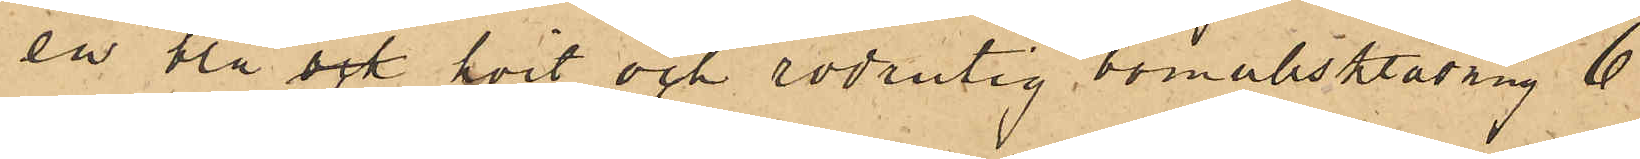en blå, ock hvit och rödrutig bomullsklädning 6
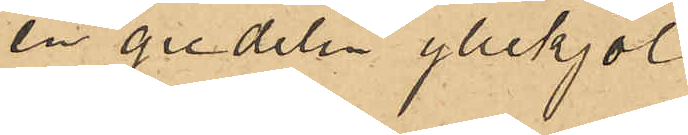en gredelin yllekjol
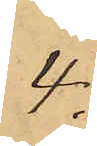4
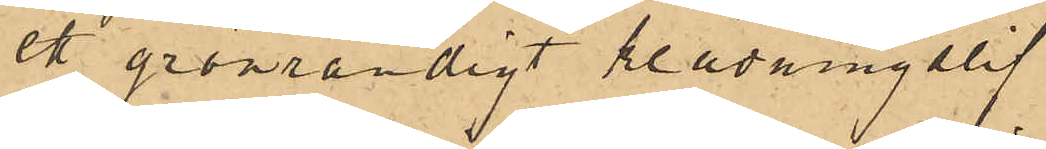ett grönrandigt klädningslif
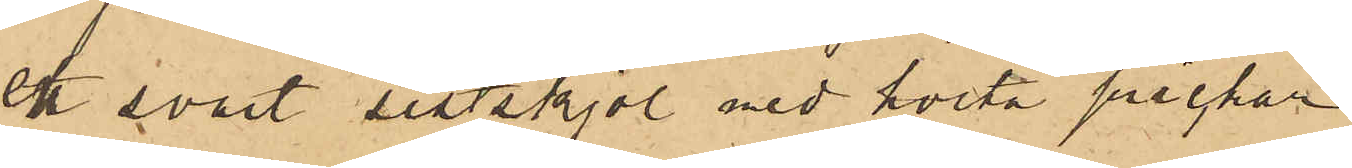ett svart sitskjol med hvita prickar
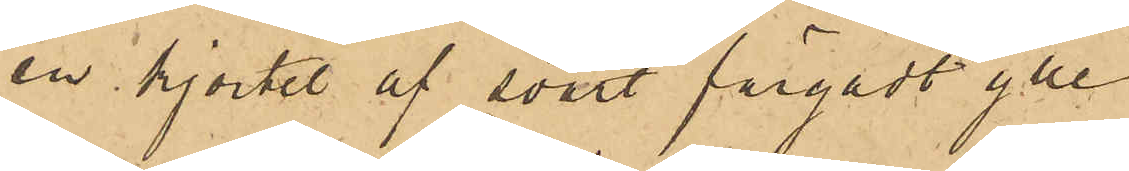en kjortel af svart färgadt ylle
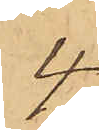4
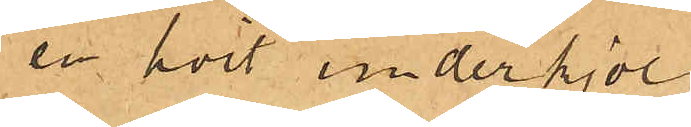en hvit underkjol
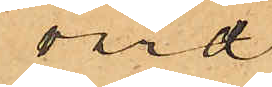värd
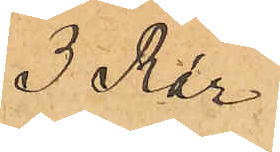3 Rdr
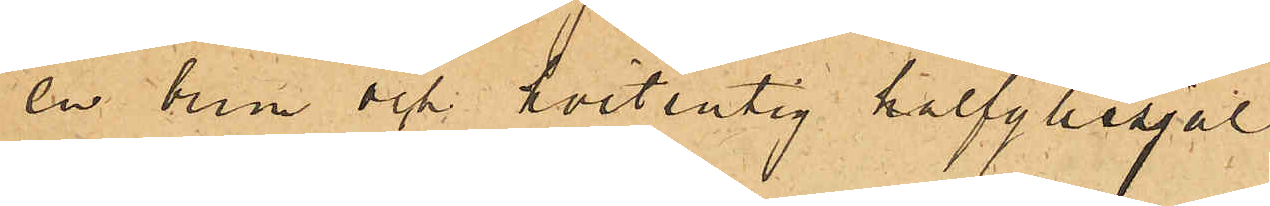en brun och vitrutig halfyllesjal
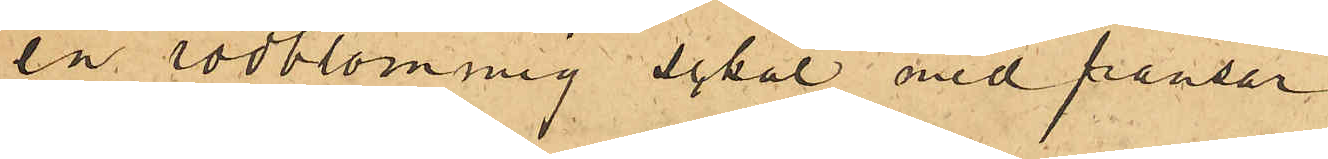en rödblommig schal med fransar
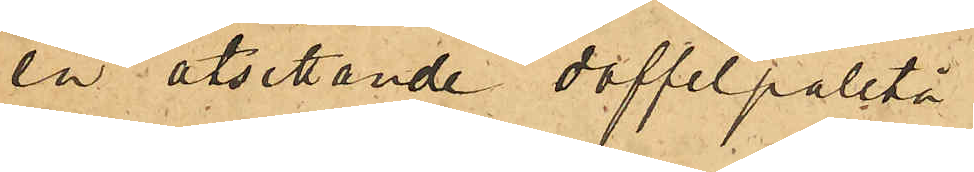en åtsittande doffelpaletå
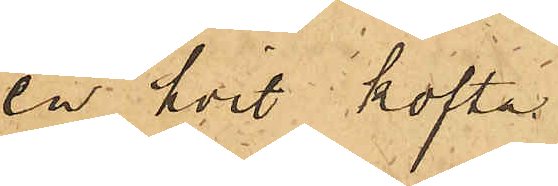en hvit kofta
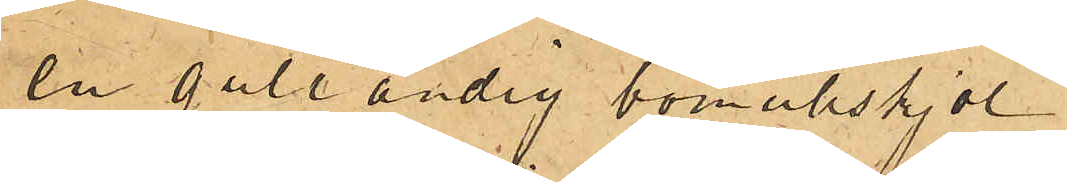en gulrandig bomullskjol
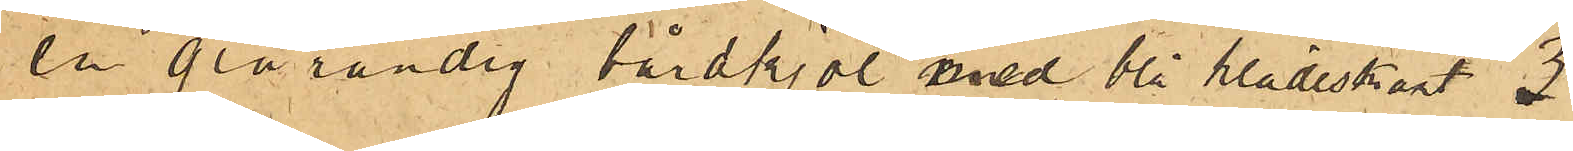en grårandig bårdkjol med blå klädeskant 3
